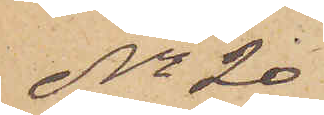No 20
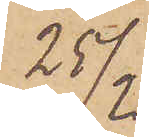25/2
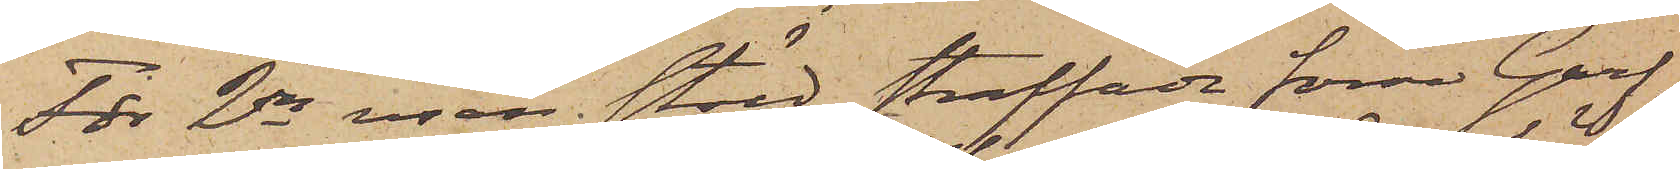För 2dra resan stöld straffade förre Garf¬
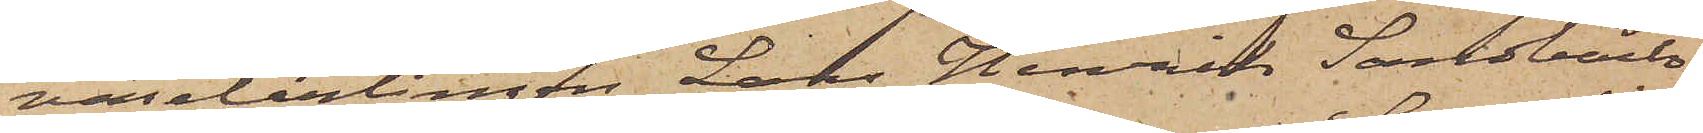varelärlingen Lars Henrik Sandbäck
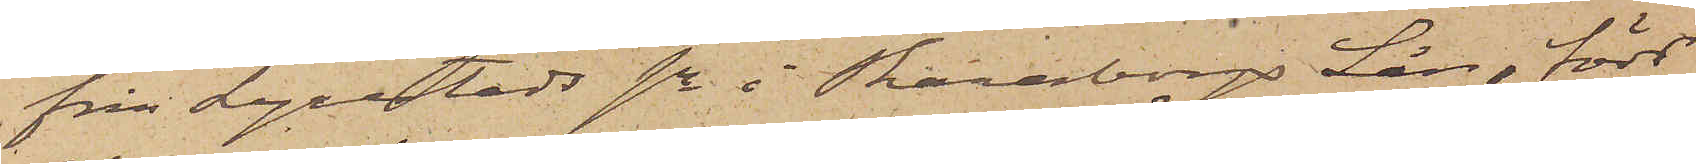från Lyrestads sn i Skaraborgs Län, född
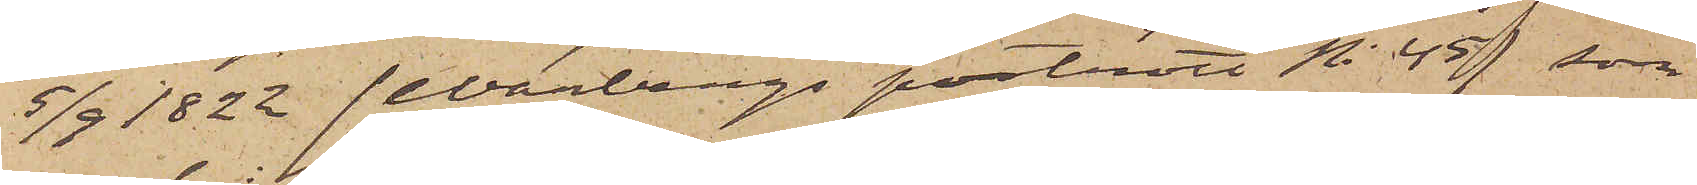5/9 1822 (Warbergs porträtt No 45), som
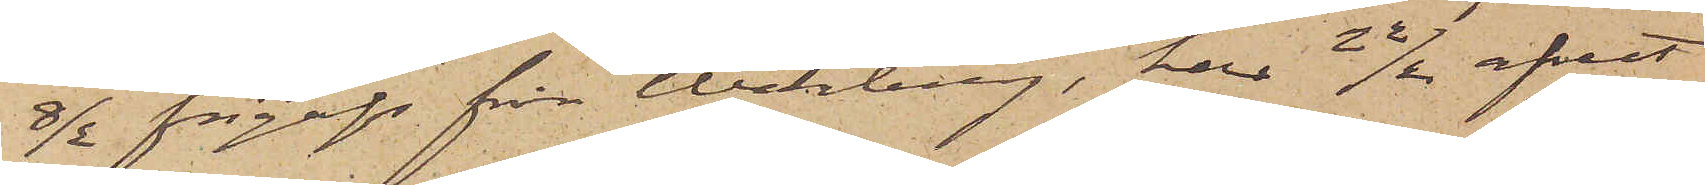8/2 frigafs från Warberg, har 22/2 afrest
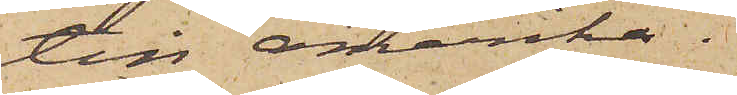till Amerika.
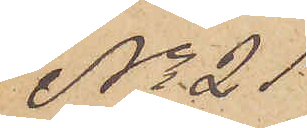No 21
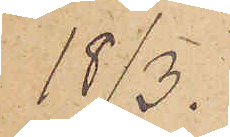18/3.
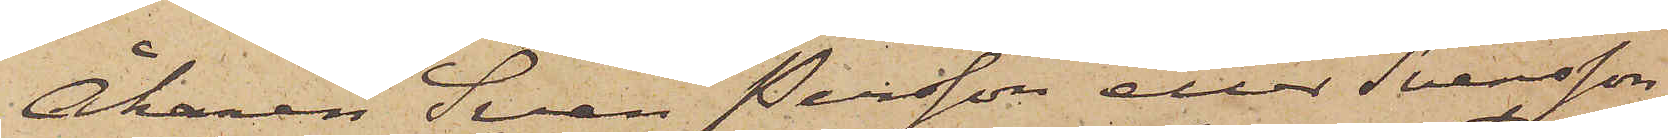Åkaren Sven Persson eller Svensson
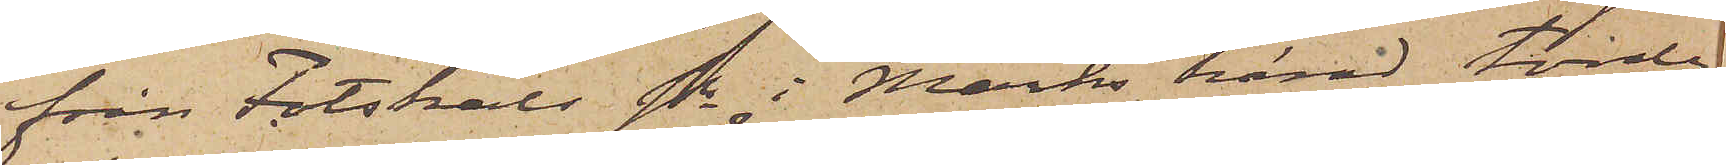från Fotskäls sn i Marks härad, torde
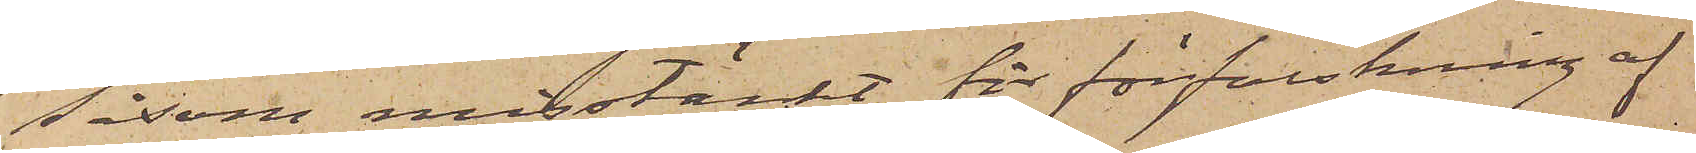såsom misstänkt för förfalskning af
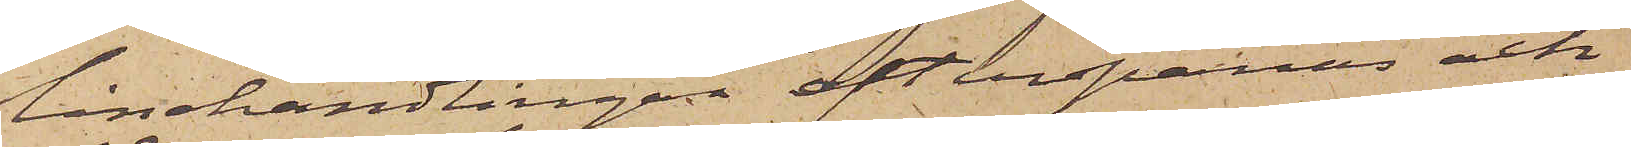lånehandlingar efterspanas och
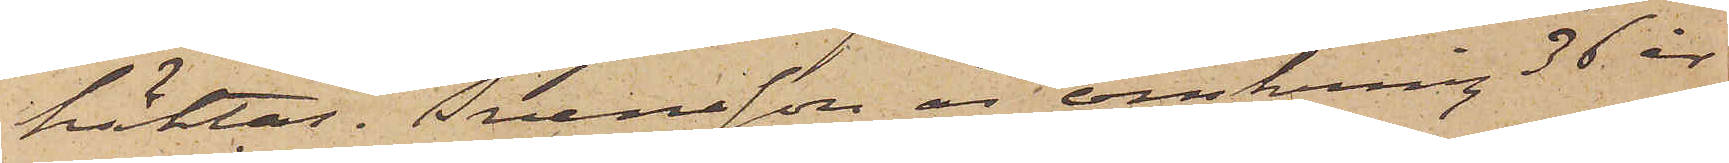häktas. Svensson är omkring 36 år
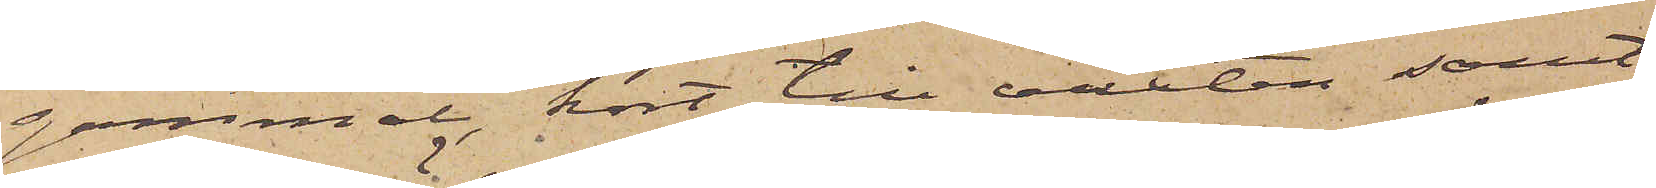gammal, kort till växten samt
